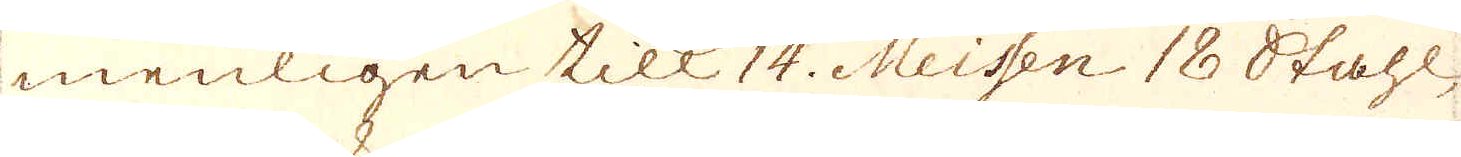menligen till 14. Meissen 18 Stahl-
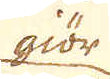giör
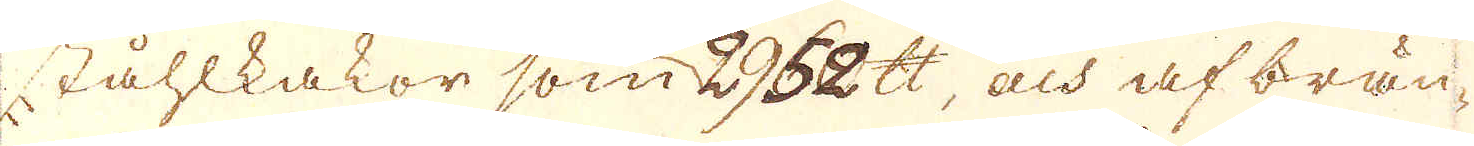ståhlkakor som 2960 skålpund, och af brän-
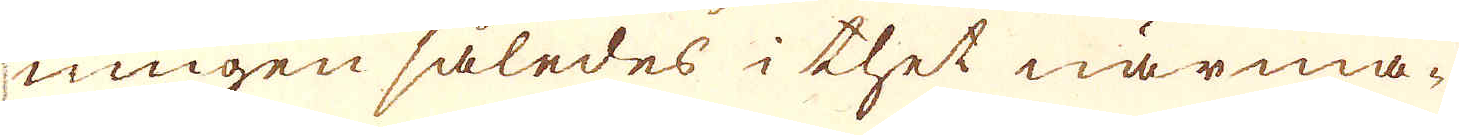ningen således i thet närma-
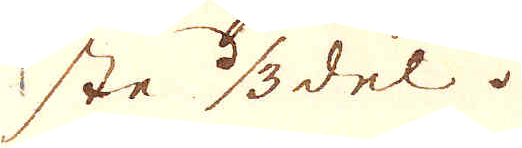ste 1/3 del.
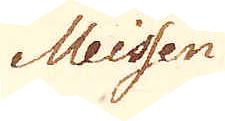Meissen
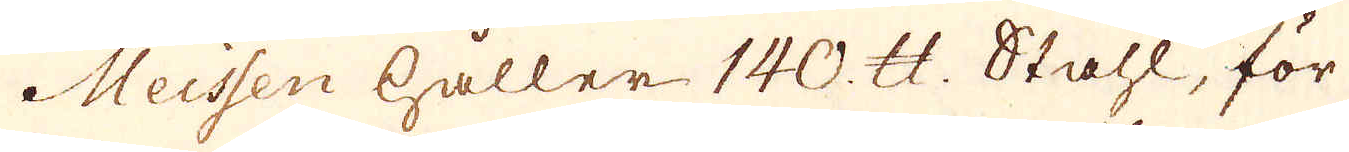Meissen håller 140. skålpund: Stahl, för
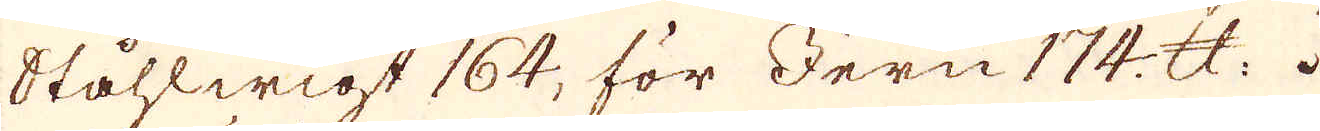Ståhlwigt 164. för Jern 174 skålpund.
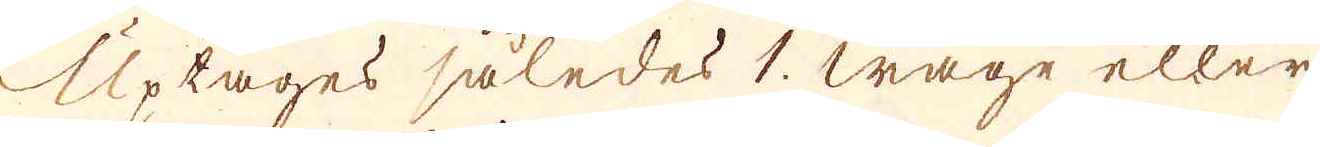Uptages således 1. wage eller
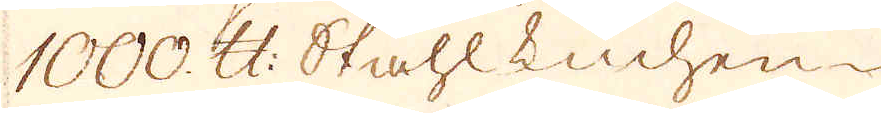1000. skålpund Stahl Luchen-
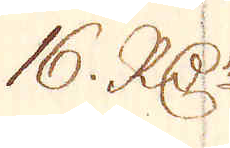16. R:Dr
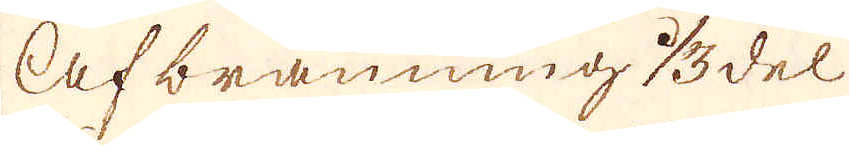Afbränning 1/3 del
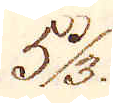5 1/3
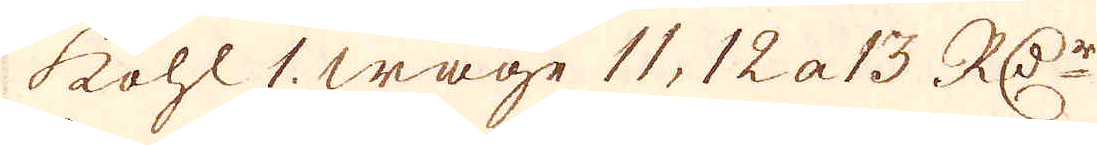kohl 1. wage 11, 12 a 13. RD:r
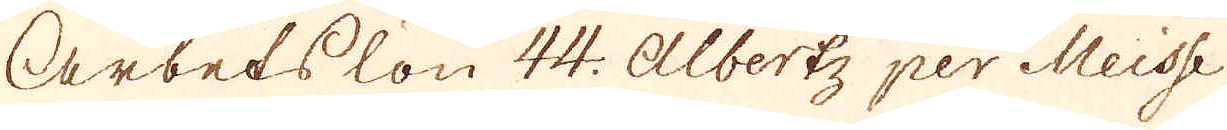Arbetslön 44. Albertz per Meisse,
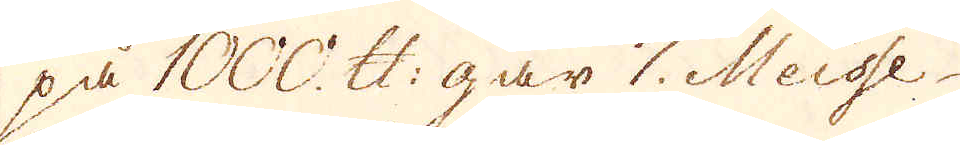på 1000. skålpund går 7. Meisse
